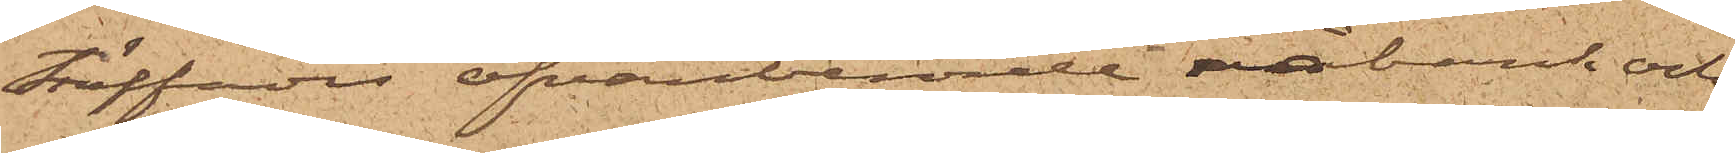träffades ofvanberörde råbank och
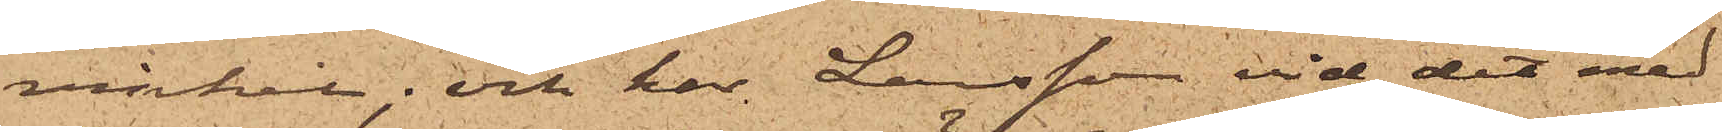vinkel; och har Larsson vid det med
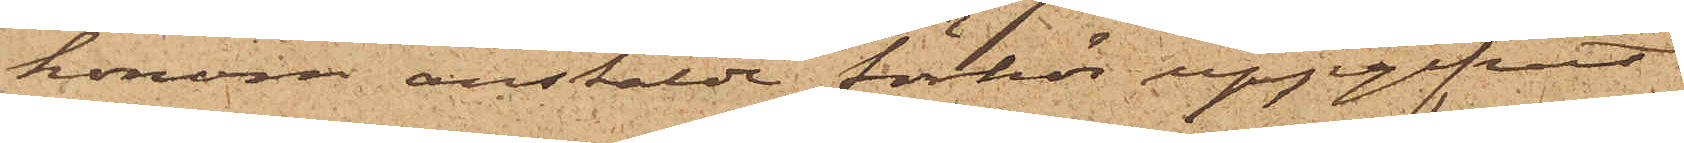honom anstälde förhör uppgifvit
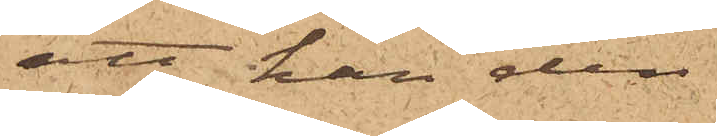att han den
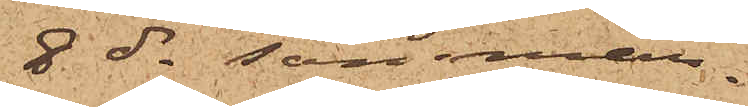8 ds samman¬
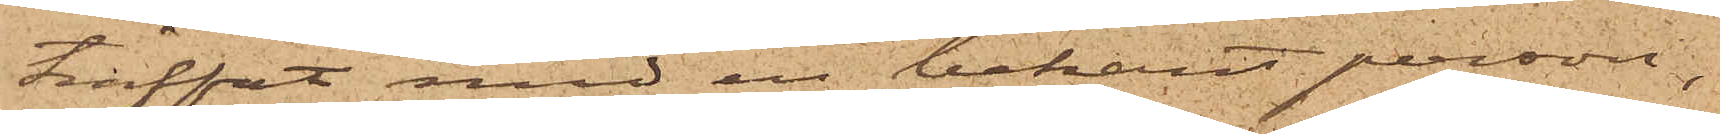träffat med en bekant person,
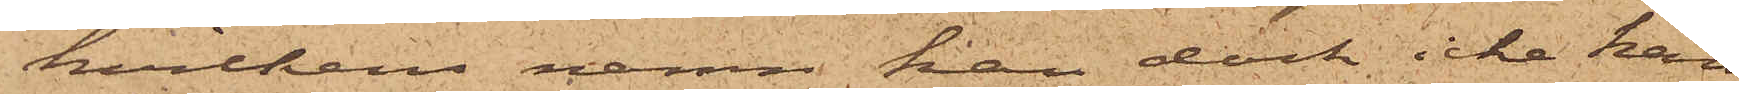hvilkens namn han dock icke kan
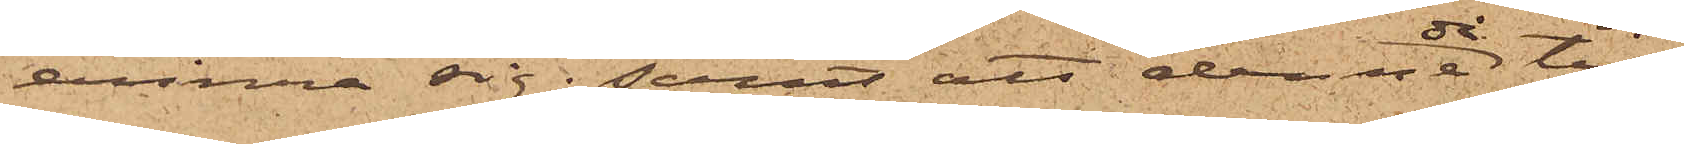erinra sig; samt att denne då till
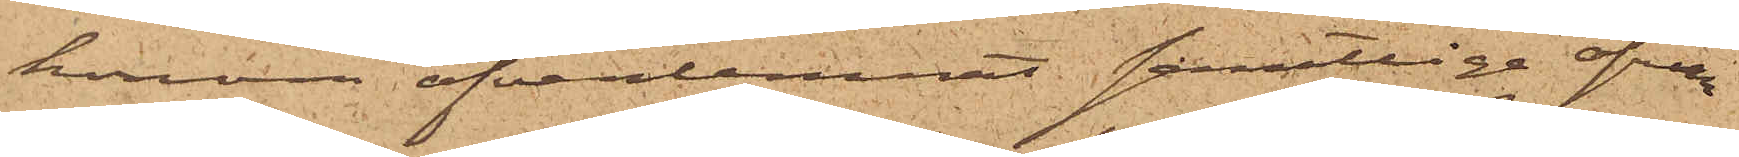honom öfverlemnat samtlige ofvan
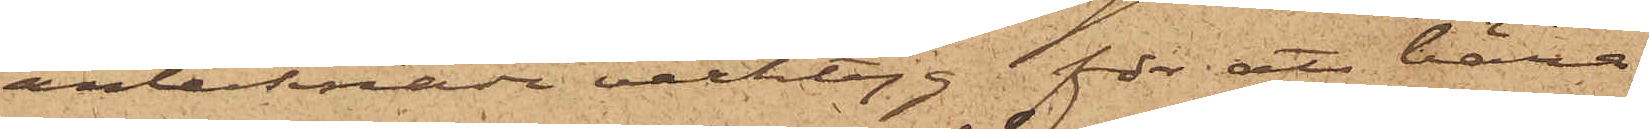antecknade verktyg för att bära
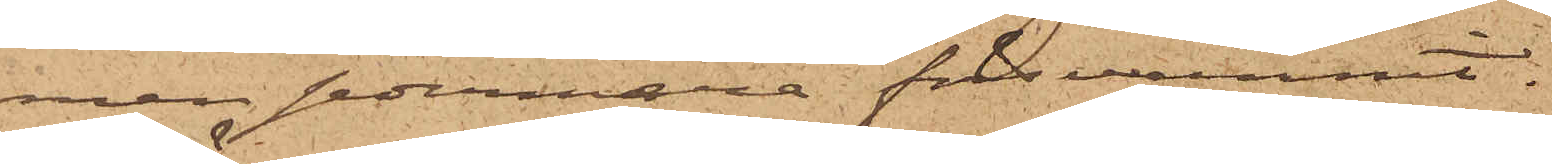men sedermera försvunnit.
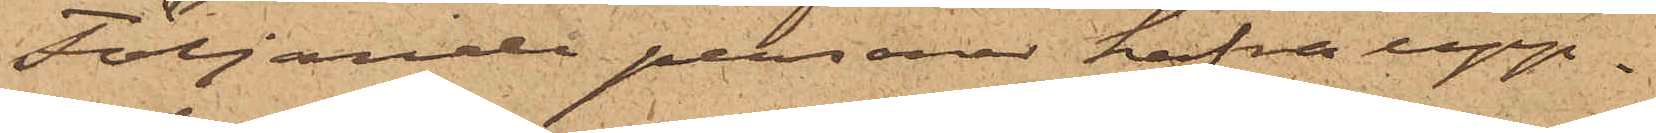Följande personer hafva upp¬
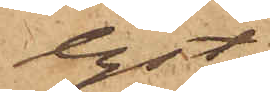lyst;
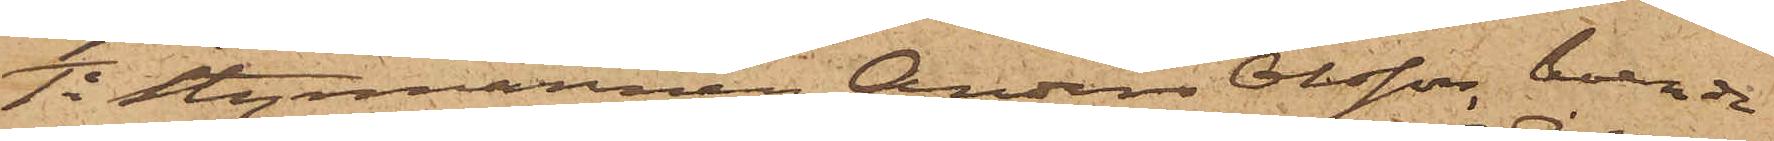1o Styrmannen Anders Olsson, boende
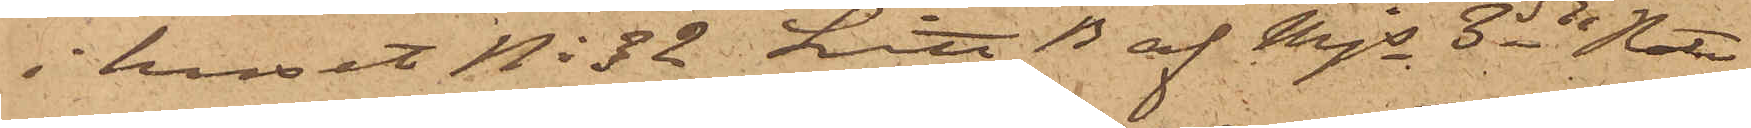i huset No 32 Litt B af Mjs 3dje Rote,
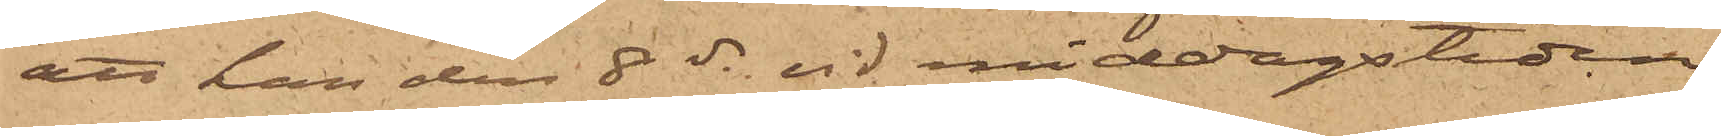att han den 8 ds vid middagstiden
